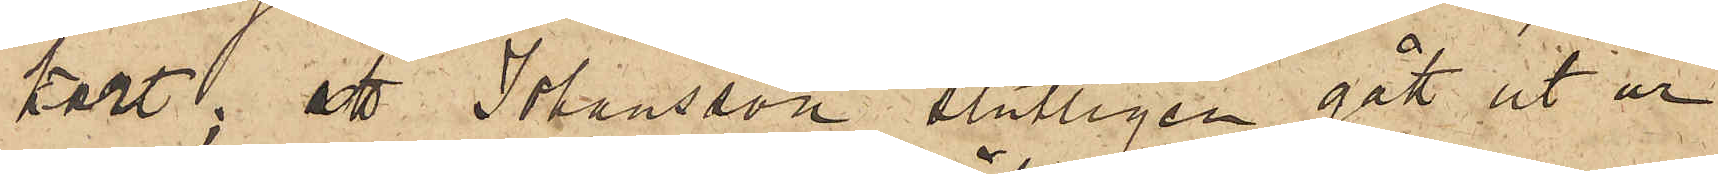kort; att Johansson slutligen gått ut ur
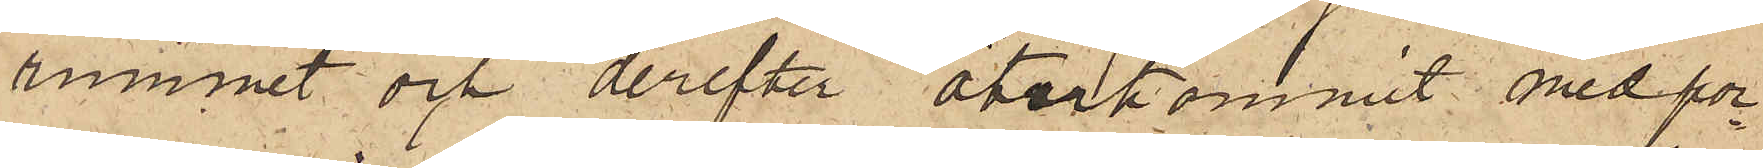rummet och derefter återkommit med por¬
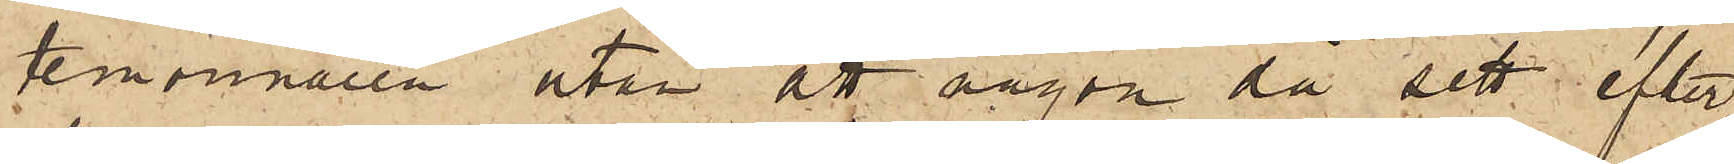temonnaien utan att någon då sett efter
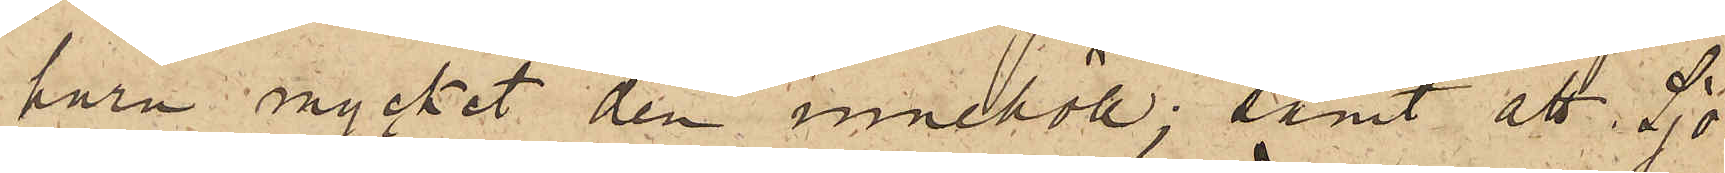huru nycket den innehöll; samt att Sjö¬
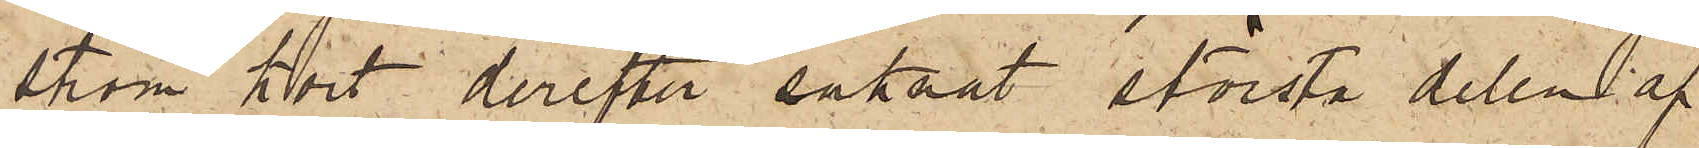ström kort derefter saknat största delen af
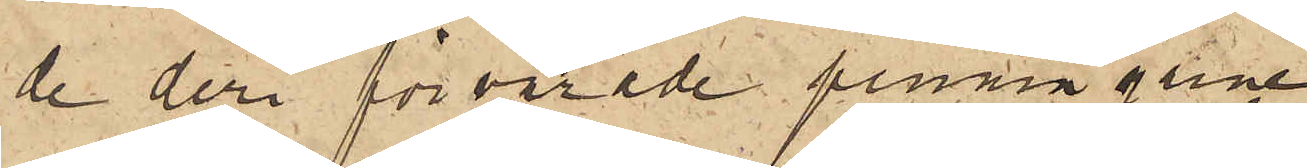de deri förvarade penningarne.
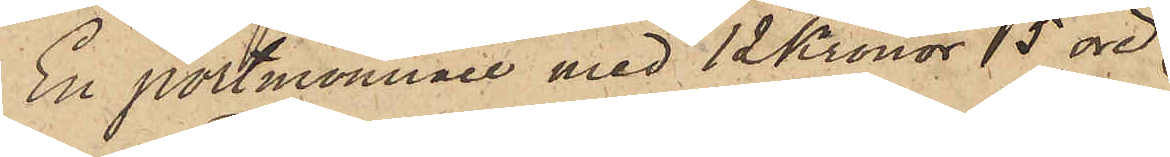En portemonnaie med 12 Kronor 5 öre
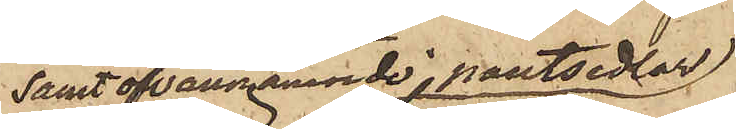samt ofvannämnde pantsedlar
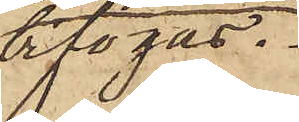bifogas.
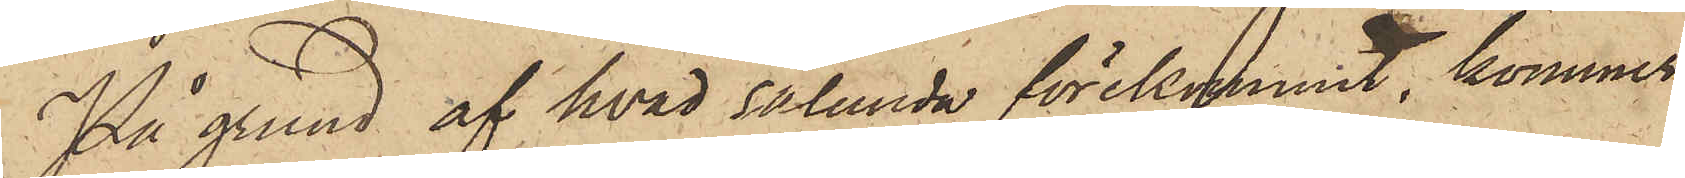På grund af hvad sålunda förekommit, kommer
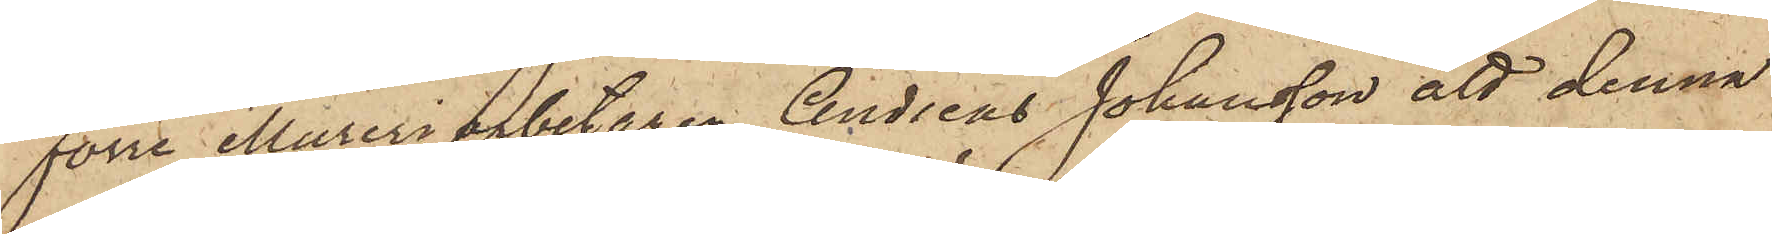förre Mureriarbetaren Andreas Johansson att denna
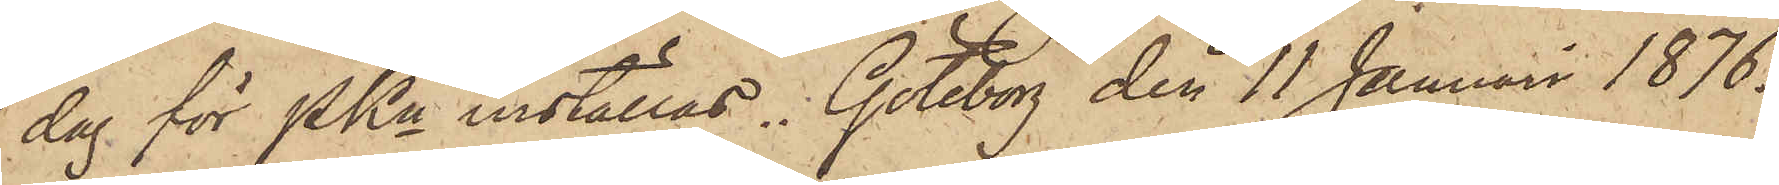dag för PKn inställas. Göteborg den 11 Januari 1876.
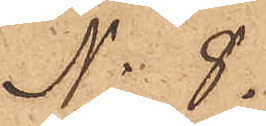No 8.
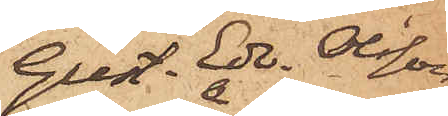Gust. Edv. Olsson
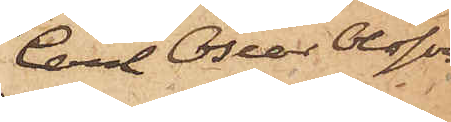Carl Oscar Olsson
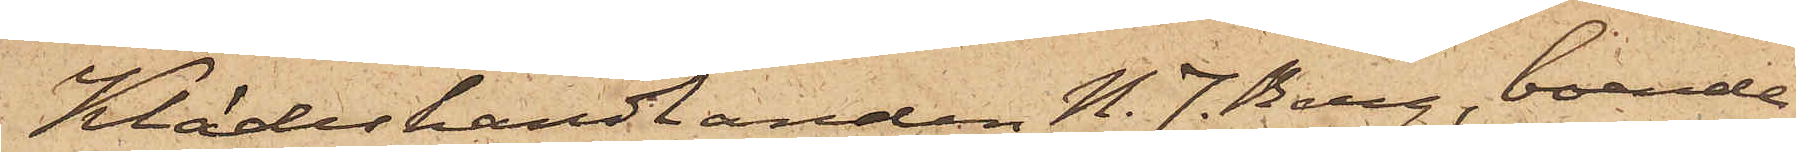Klädeshandlanden N. J. Berg, boende
